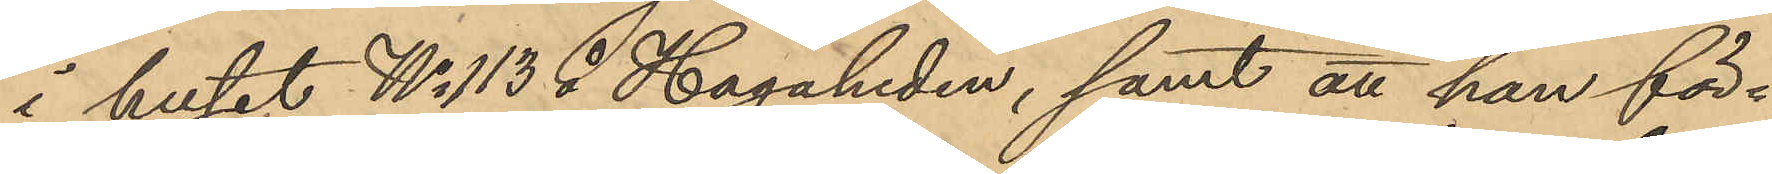i huset No 113 å Hagaheden, samt att han för¬
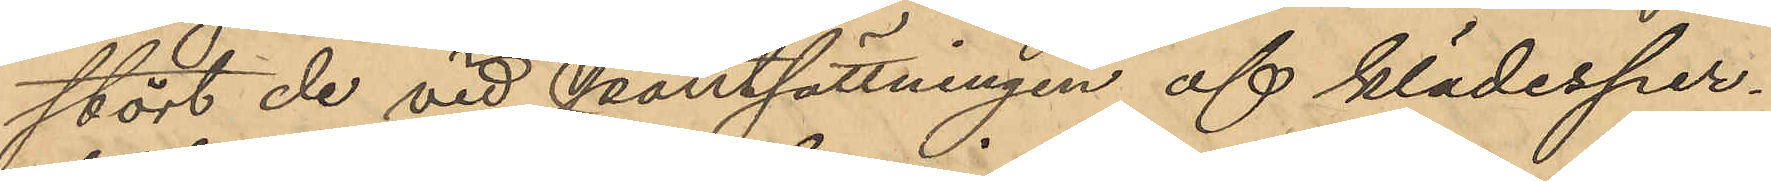stört de vid pantsättningen af klädesper¬
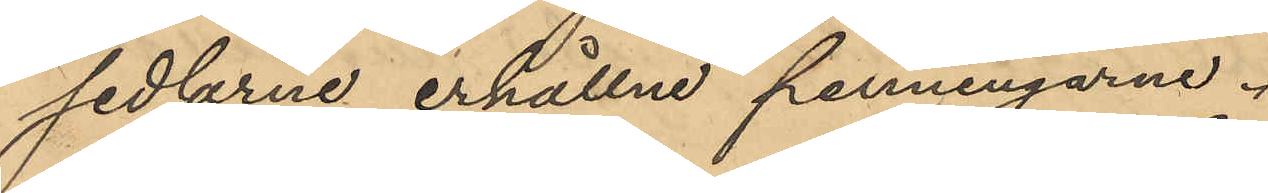sedlarne erhållne penningarne.
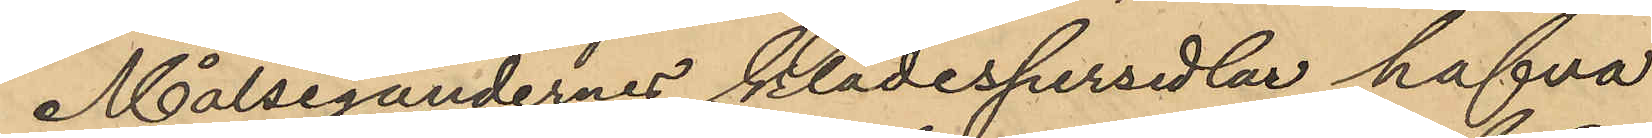Målsegandernes klädespersedlar hafva
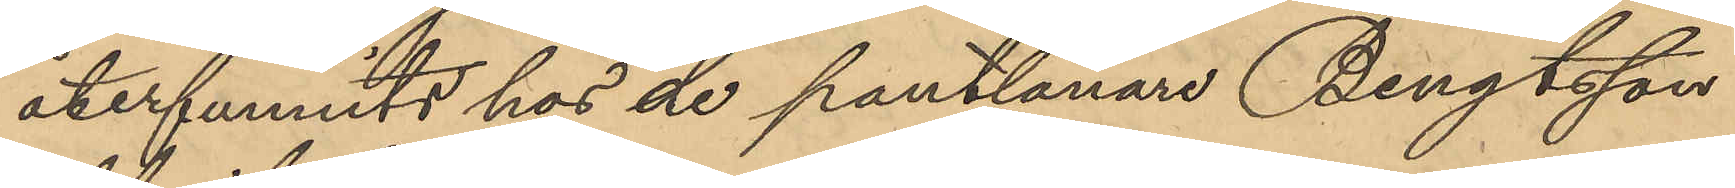återfunnits hos de pantlånare Bengtsson
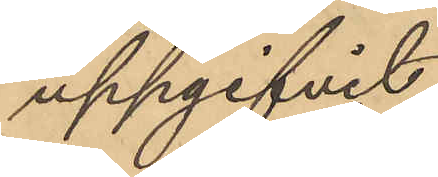uppgifvit.
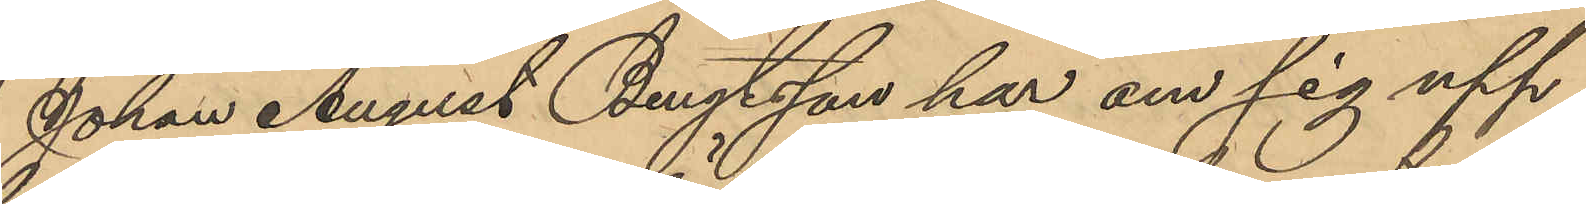Johan August Bengtsson har om sig upp
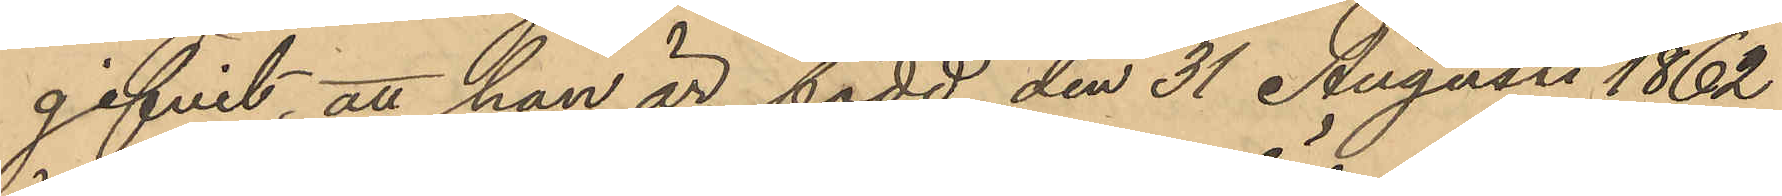gifvit, att han är född den 31 Augusti 1862
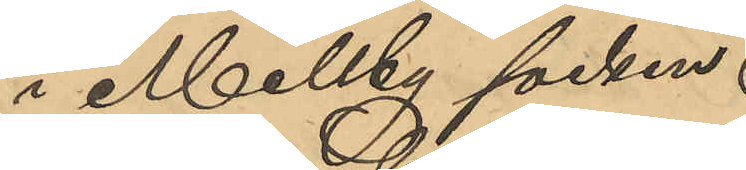i Mellby socken.
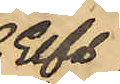Elfs¬
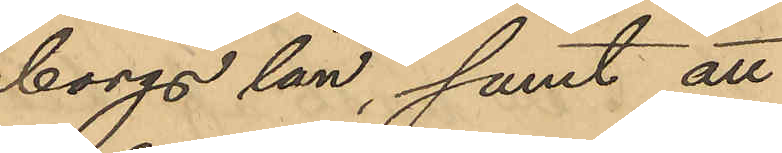borgs län, samt att
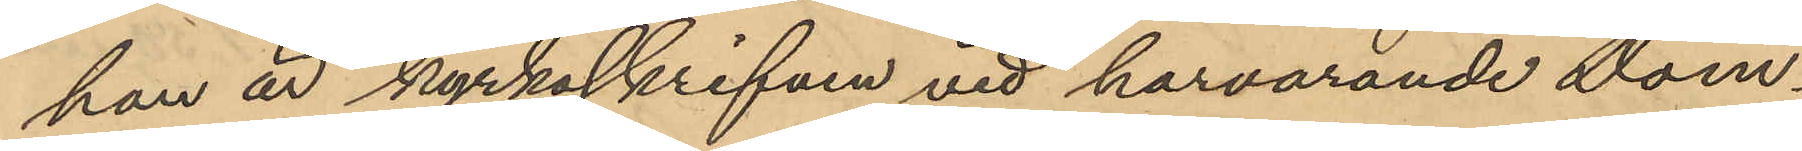han är kyrkoskrifven vid härvarande Dom¬
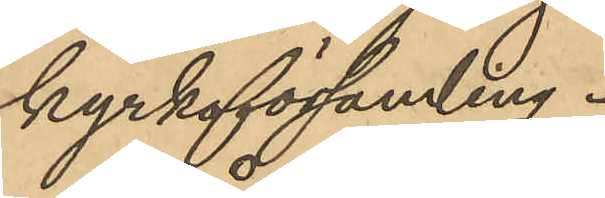kyrkoförsamling.
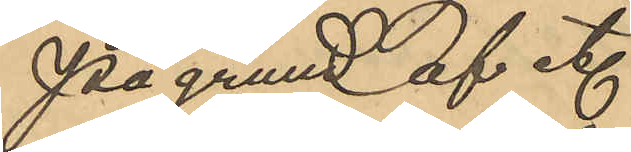På grund af etc
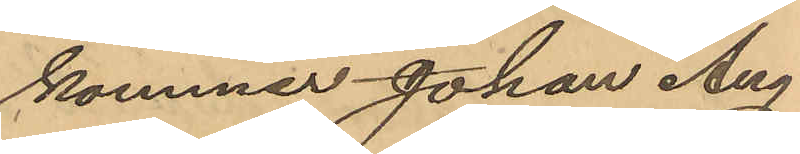kommer Johan Aug
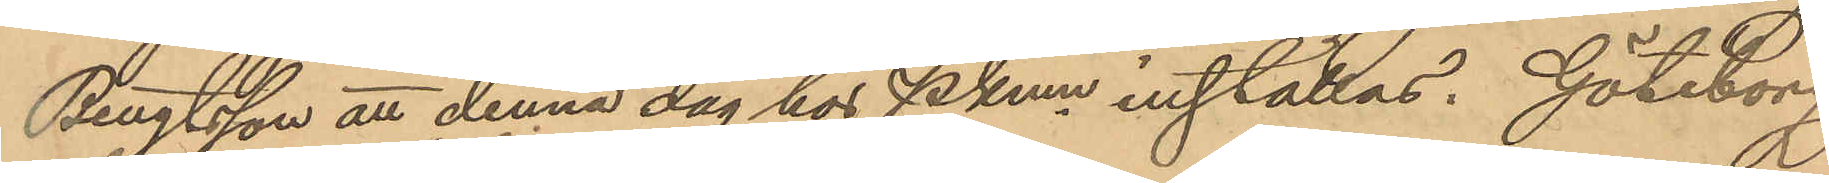Bengtsson att denna dag hor PKmn inställas. Göteborg
